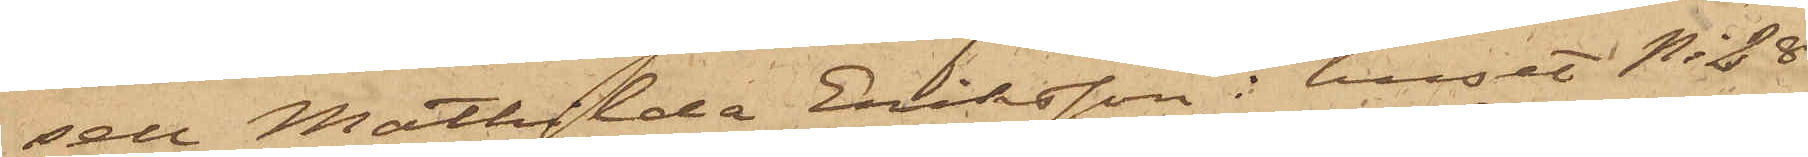sell Mathilda Eriksson i huset No 28
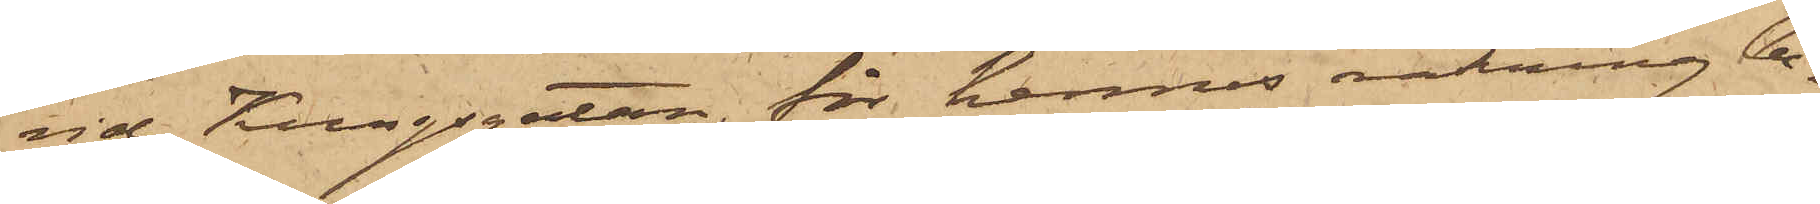vid Kungsgatan, för hennes räkning be¬
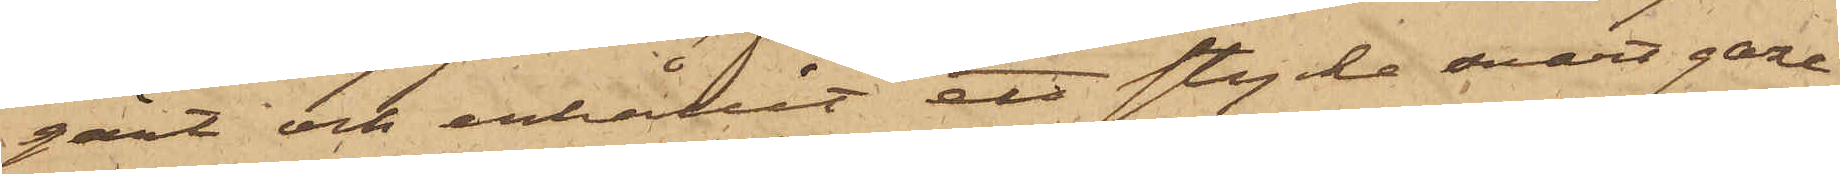gärt och erhållit ett stycke svart gaze
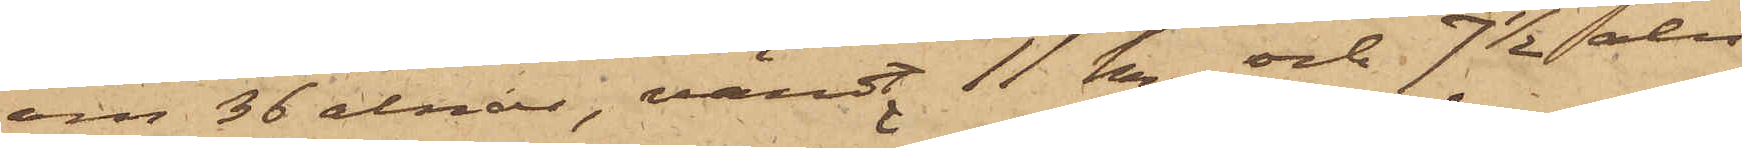om 36 alnar, värdt 11 kr. och 7 1/2 aln
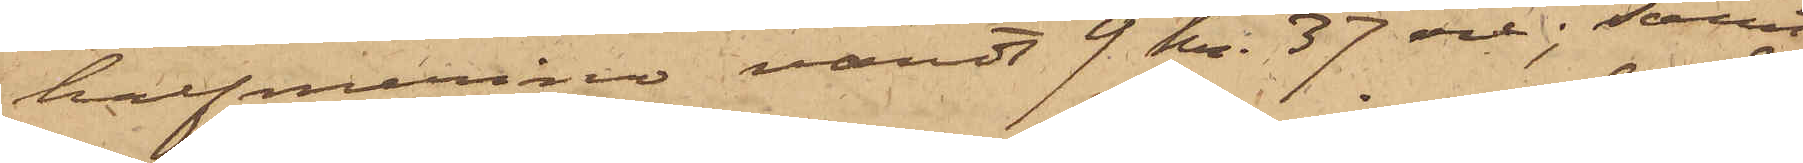halfmerino värdt 9 kr. 37 öre; samt
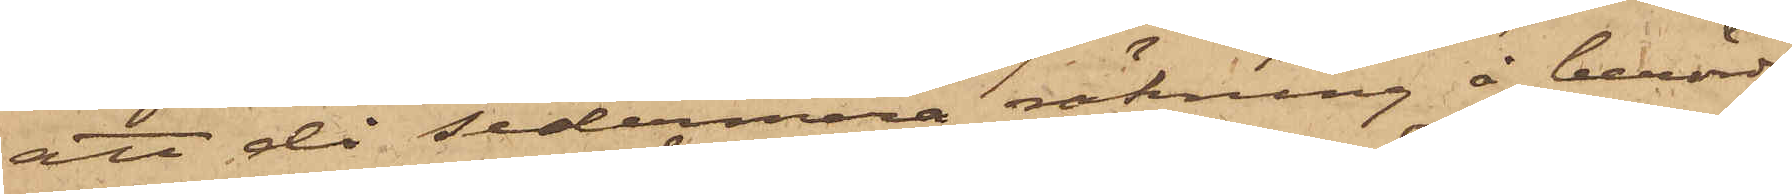att då sedermera räkning å berörde
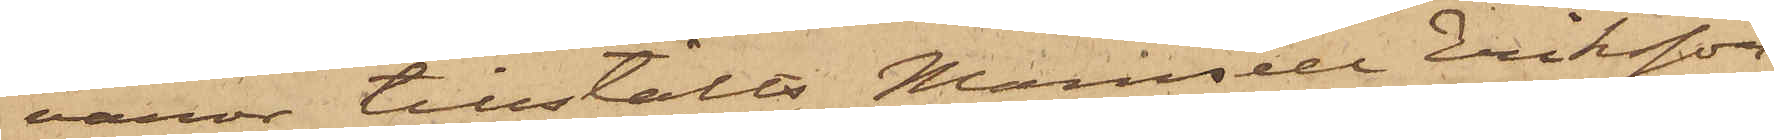varor tillstälts Mamsell Eriksson,
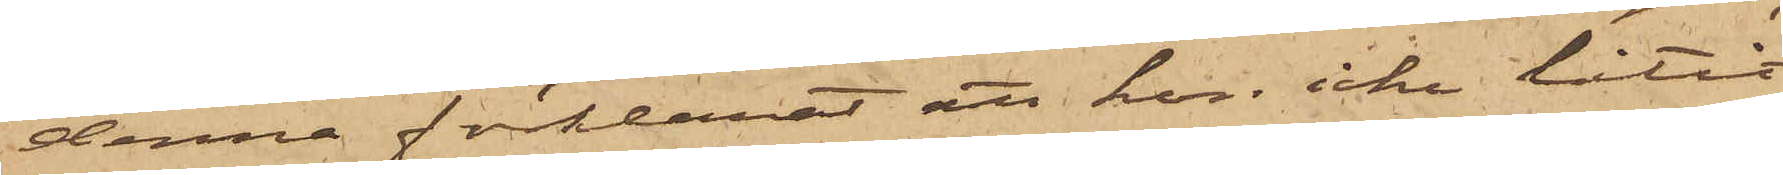denna förklarat att hon icke låtit
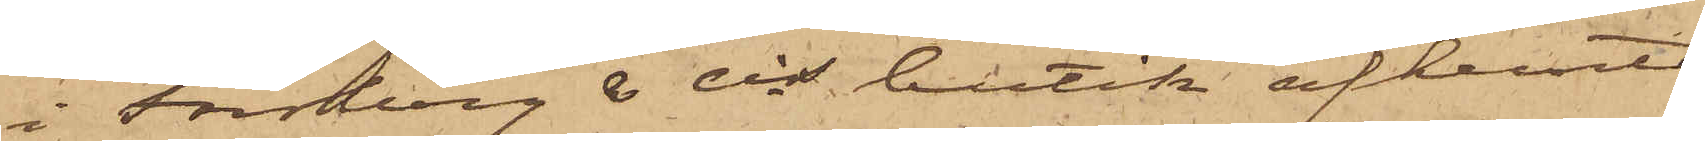i Forsberg & Cis butik afhemta
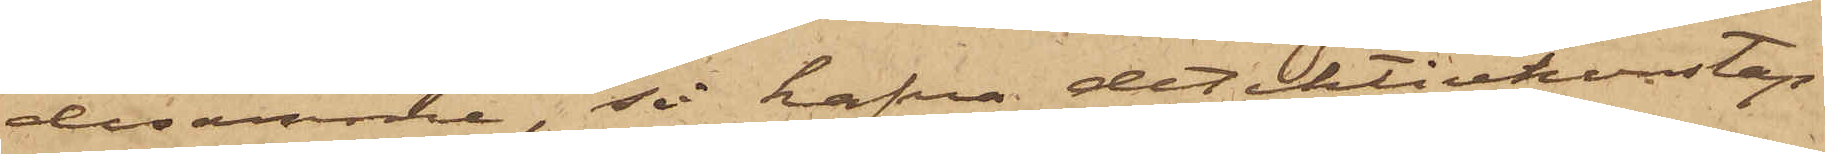desamme, så hafva detektivkonstap¬
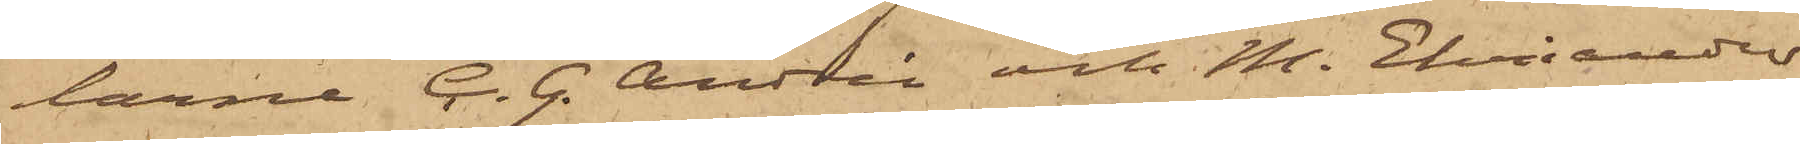larne C. G. Andrén och M. Ehriander
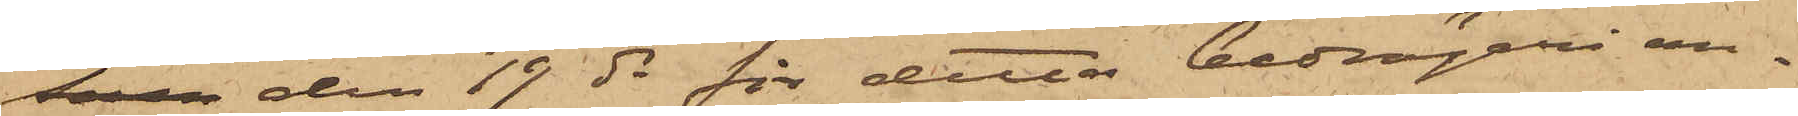som den 19 ds för detta bedrägeri an¬
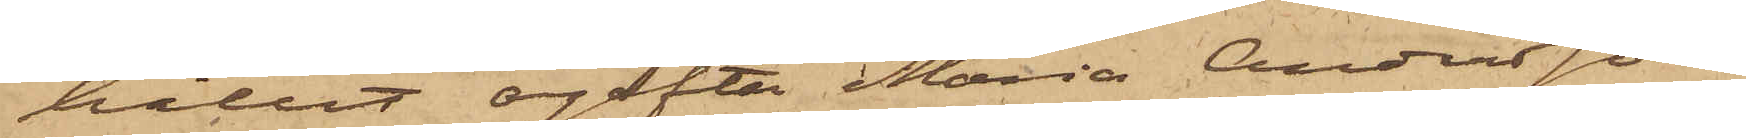hållit ogifta Maria Andersson,
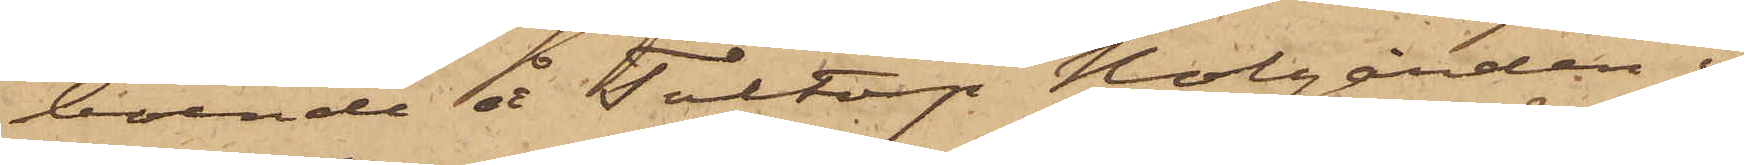boende å Toltorp Nolgården i
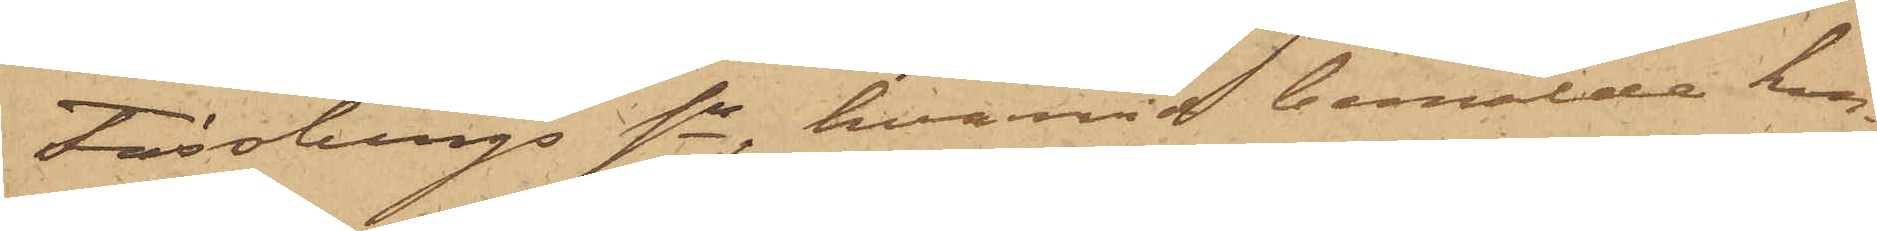Fässbergs sn, hvarvid bemälde kon¬
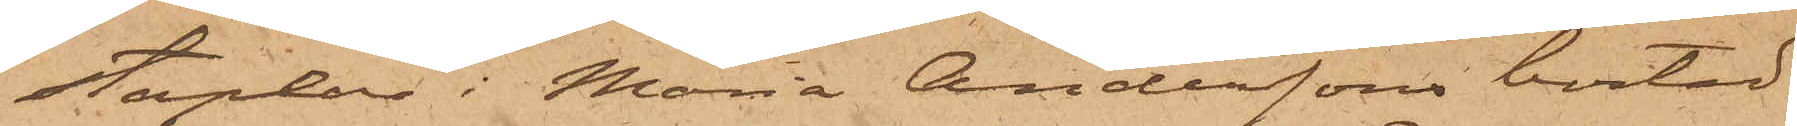staplar i Maria Anderssons bostad
